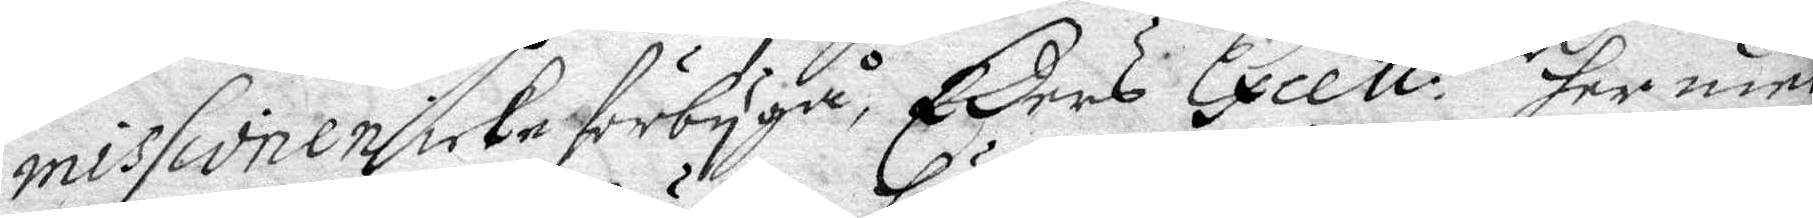missionen icke förbygå, Eders Excell:tier her med¬
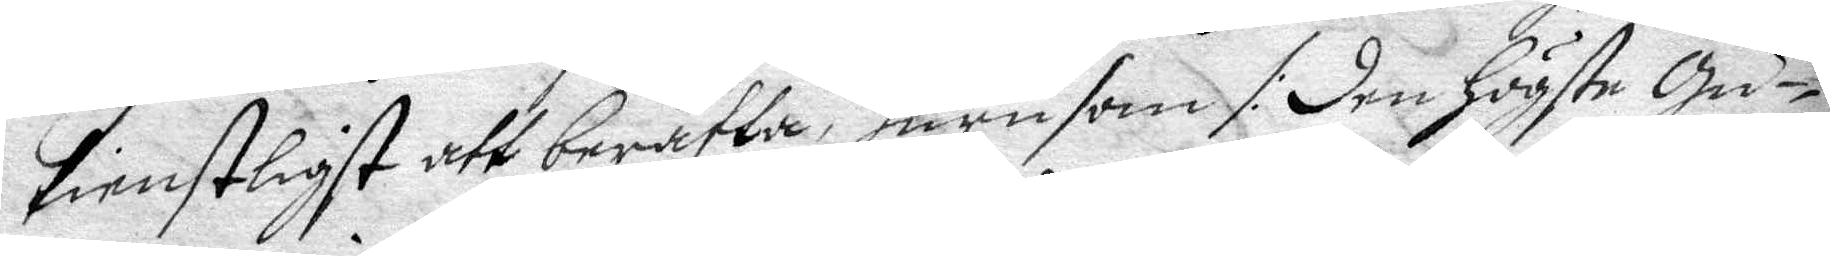tienstligst att berätta, hurusom /: den högste gu¬
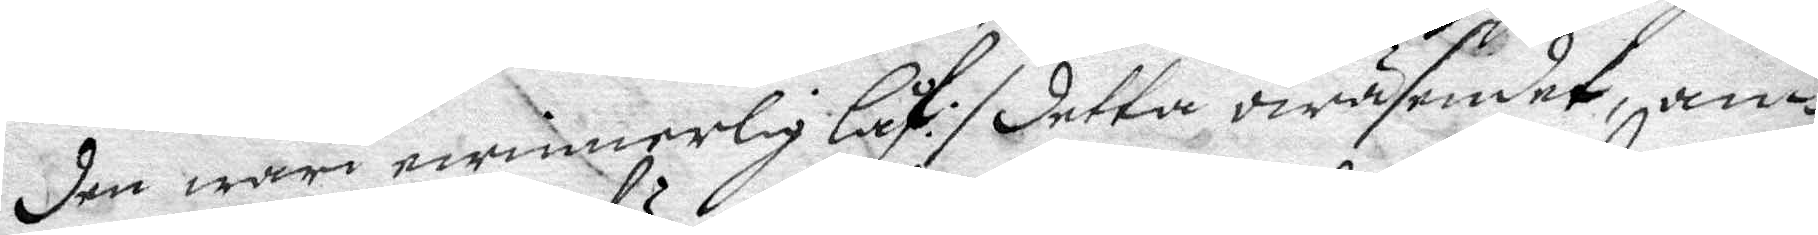den wari ewinnerlig låf :/ detta owäsendet, an¬
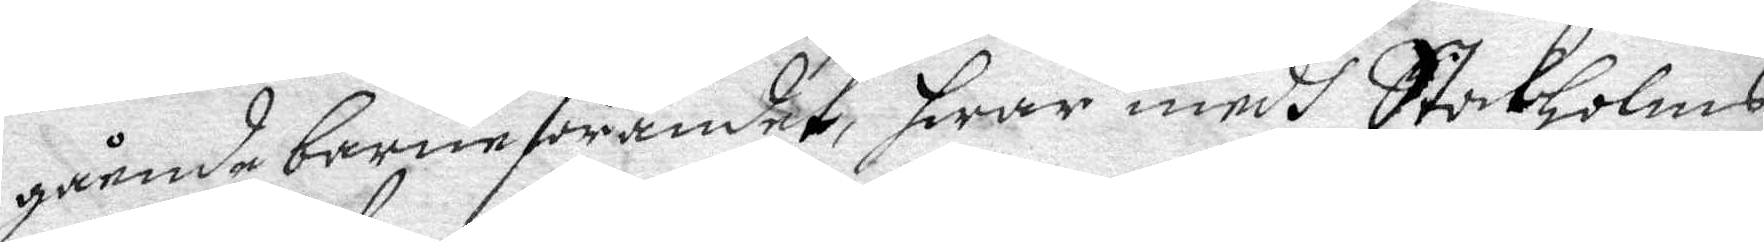gående barneförandet, hwar medh Stockholms
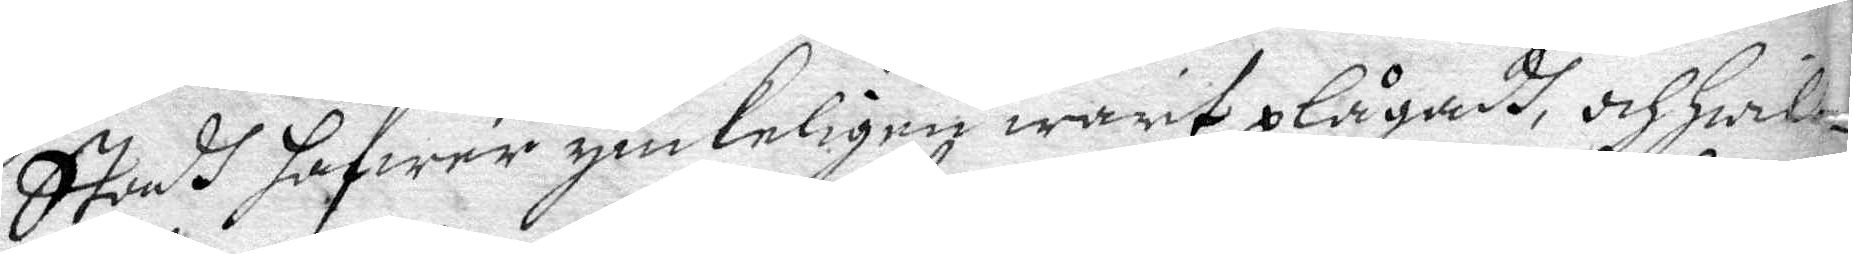Stads hafwer ynkeligen warit plågadh, och hwil¬
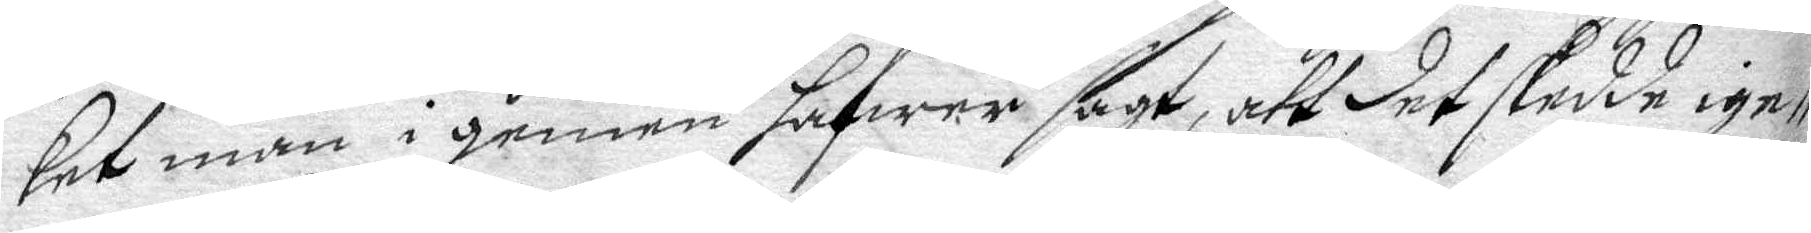ket man i gemen hafwer sagt, att det skedde ige¬
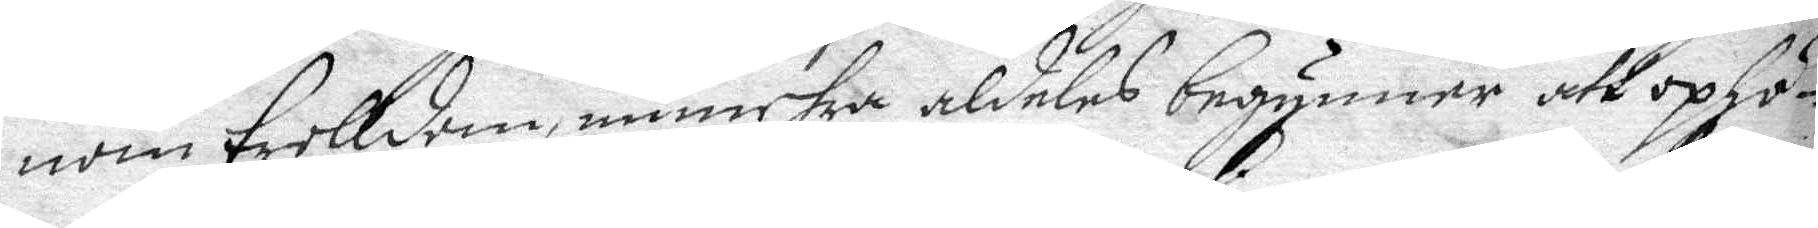nom trolldom, numehra aldeles begynner att ophö¬
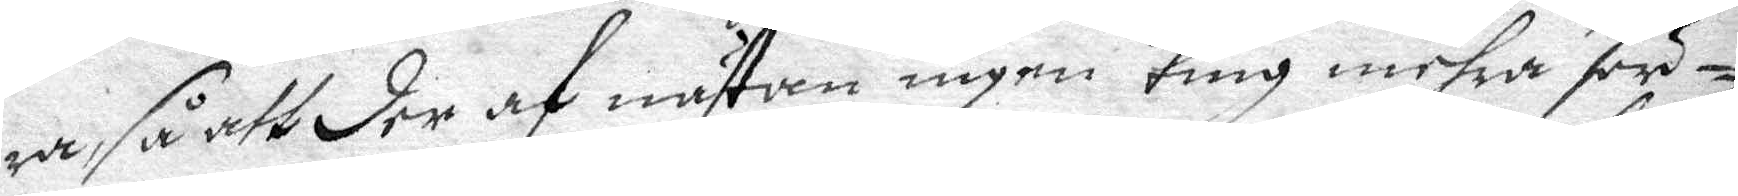ra, så att der af nästan ingen ting mehra för¬
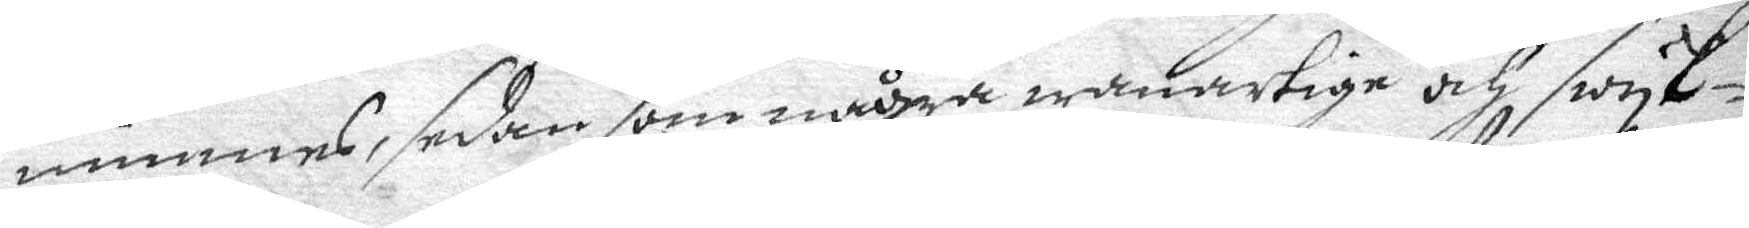nimmes, sedan som några wanartige och swyk¬
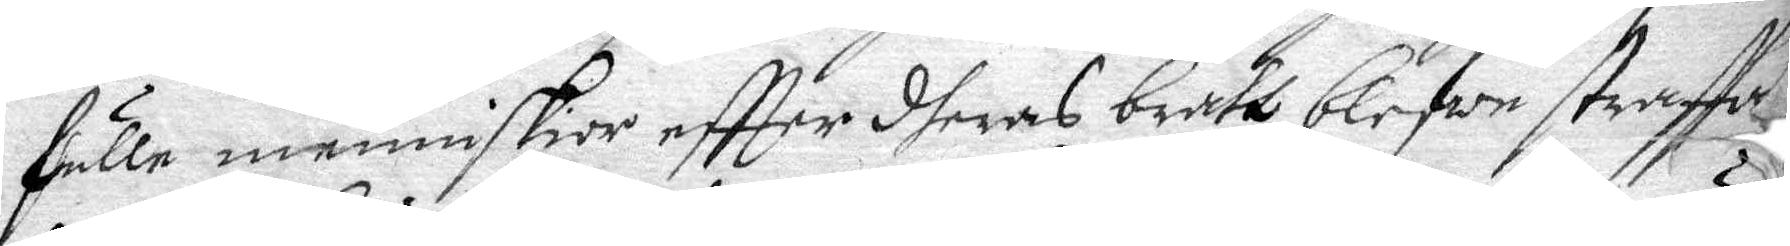fulle menniskior eftter dheras brått belfwe straffa¬
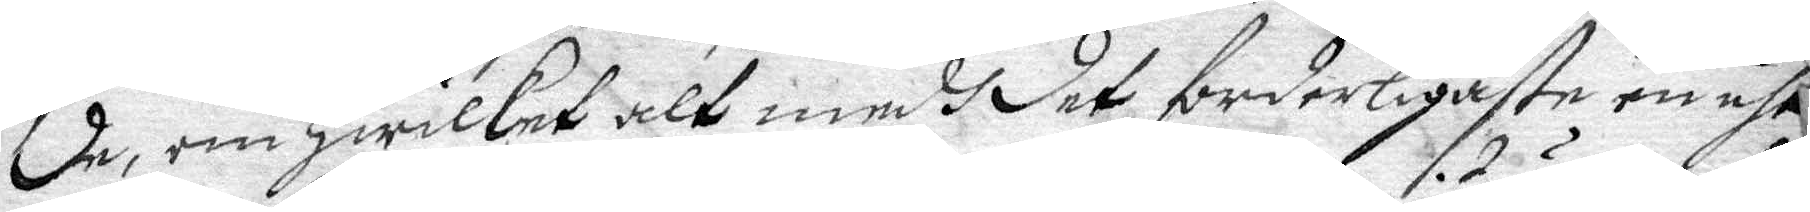de, om hwilket alt medg det forderligaste en uth¬
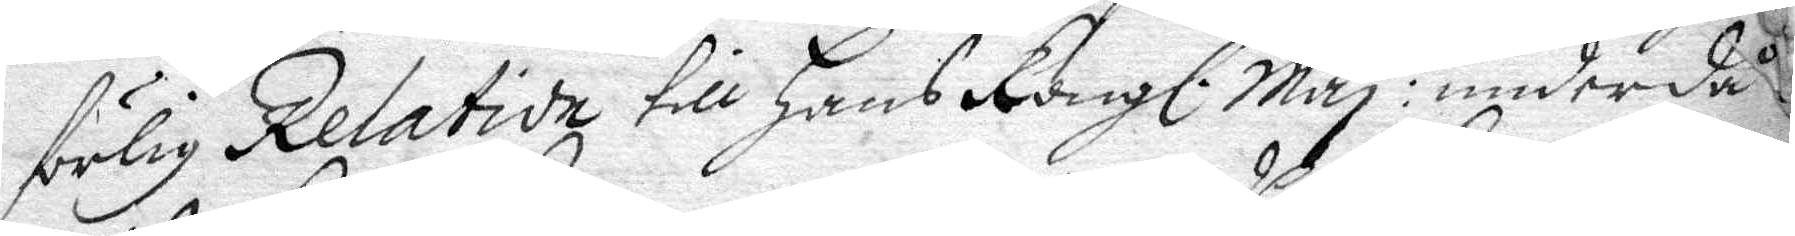förlig Relation till hans Kongl. Maj:t under då¬
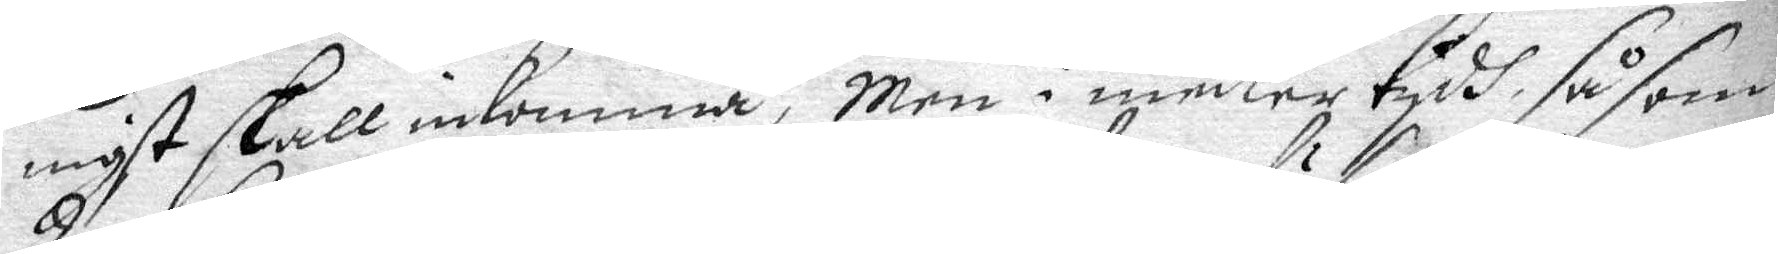nihst skall inkomma, Men i medlertydh så som
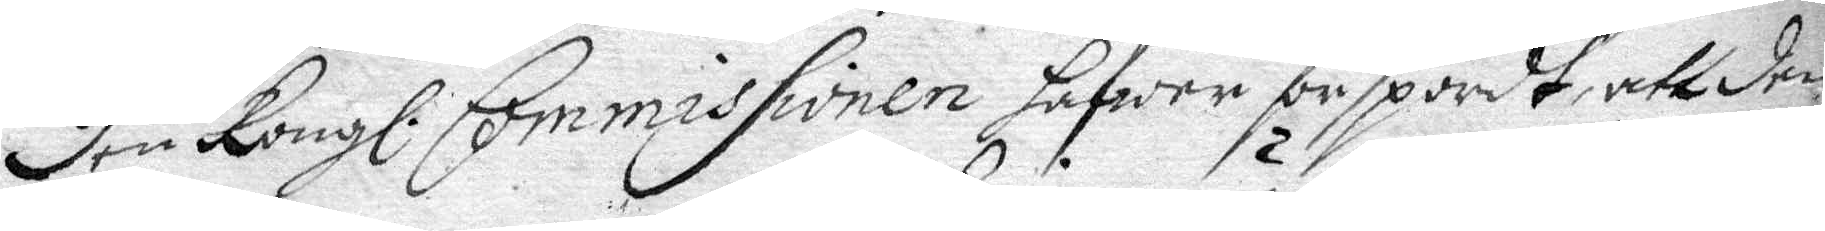den Kongl. Commissionen hafwer förspordt, att den
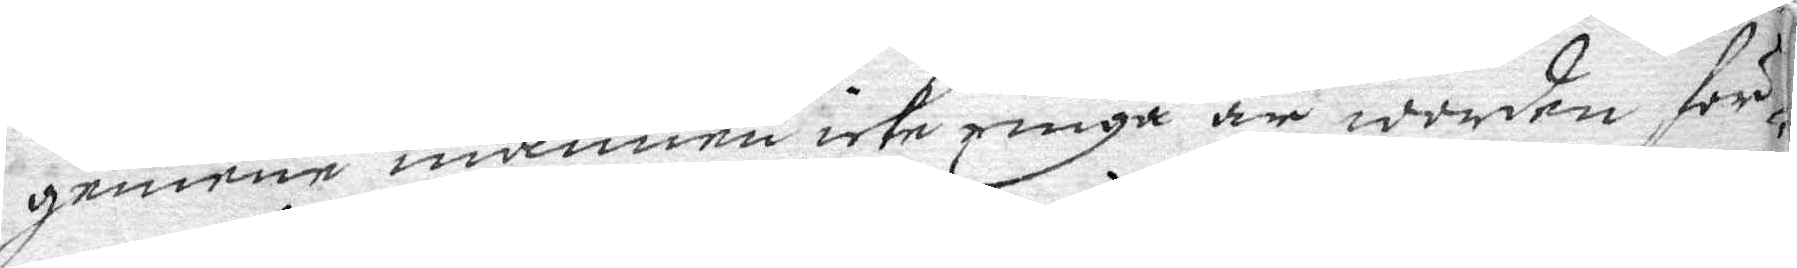geneme mannen icke ringa är worden för¬
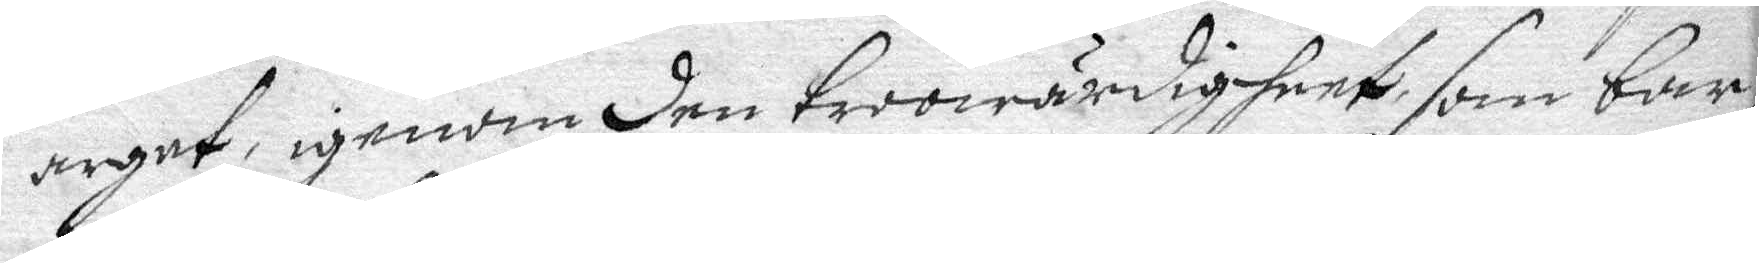arget, igenom den trowärdigheet, som bar¬
